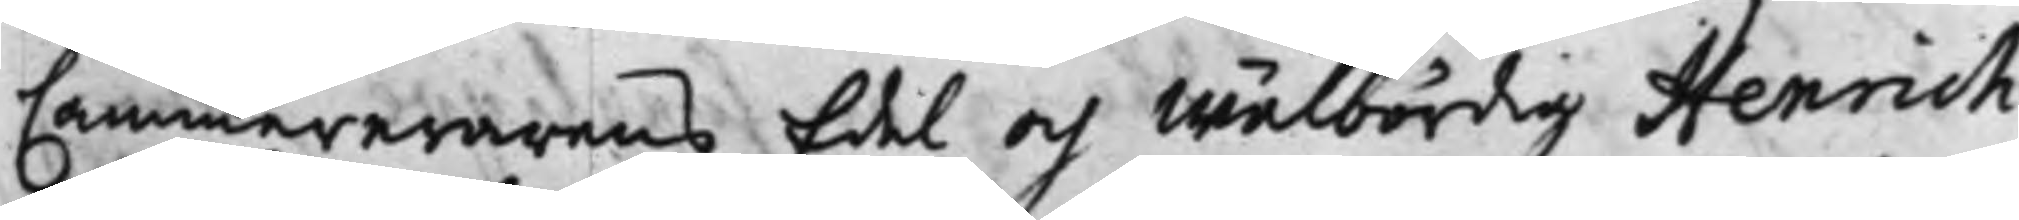Cammererarens Edel och Wälbördig Henrich
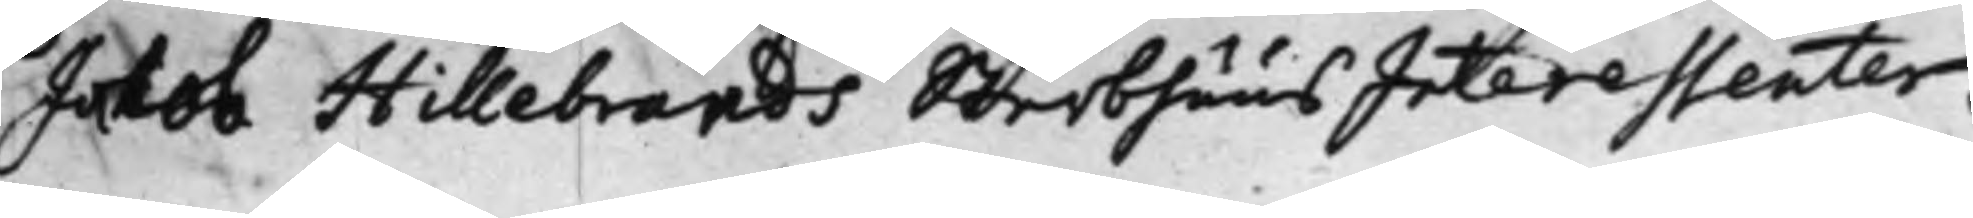Jakob Hillebrands SterbhuusInteressenter.
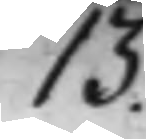13.
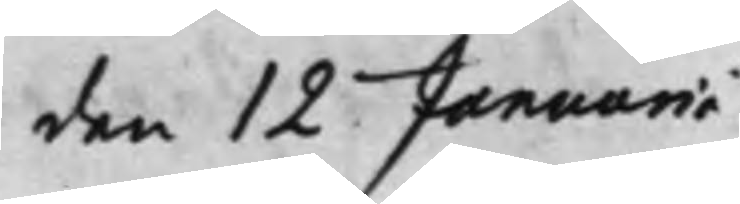den 12 Januarii
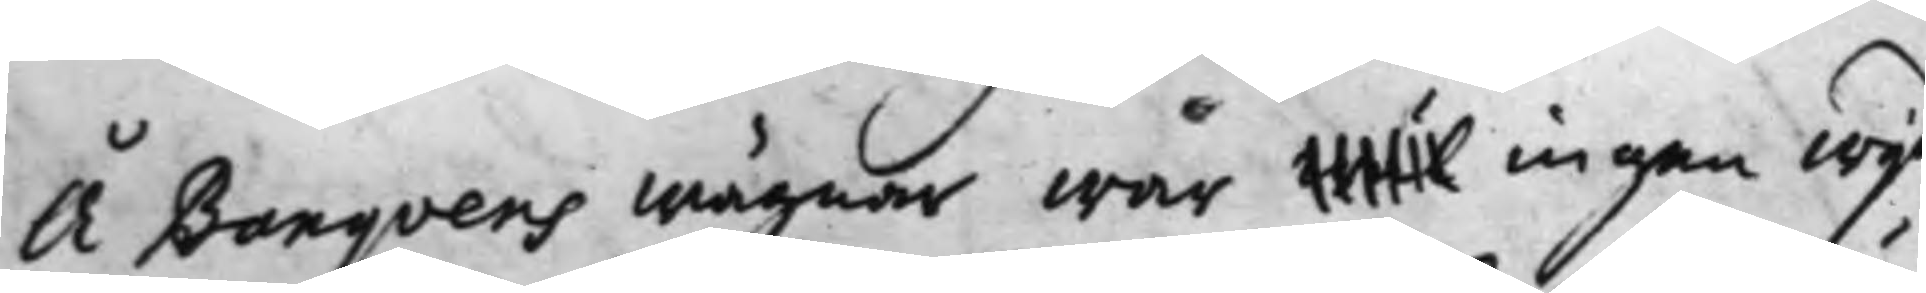A Banqvens Wägnar war wäl ingen wijd
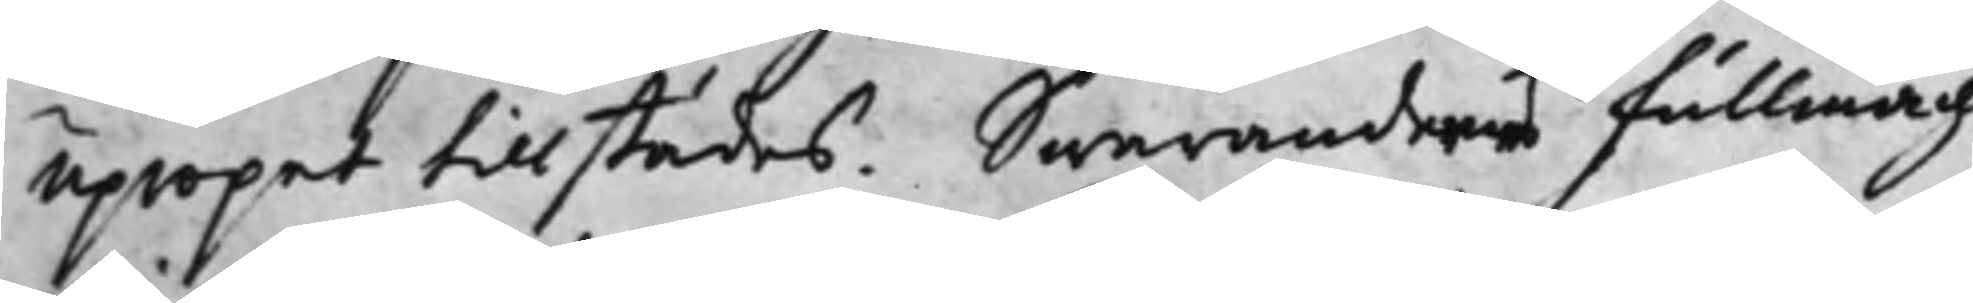Upropet tillstädes. Swarandernes Fullmäch¬
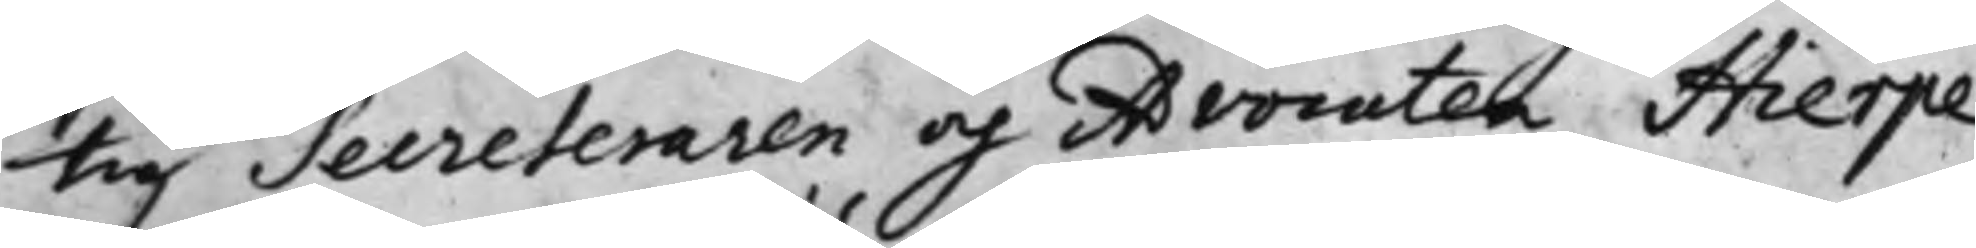tig Secreteraren och Advocaten Hierpe
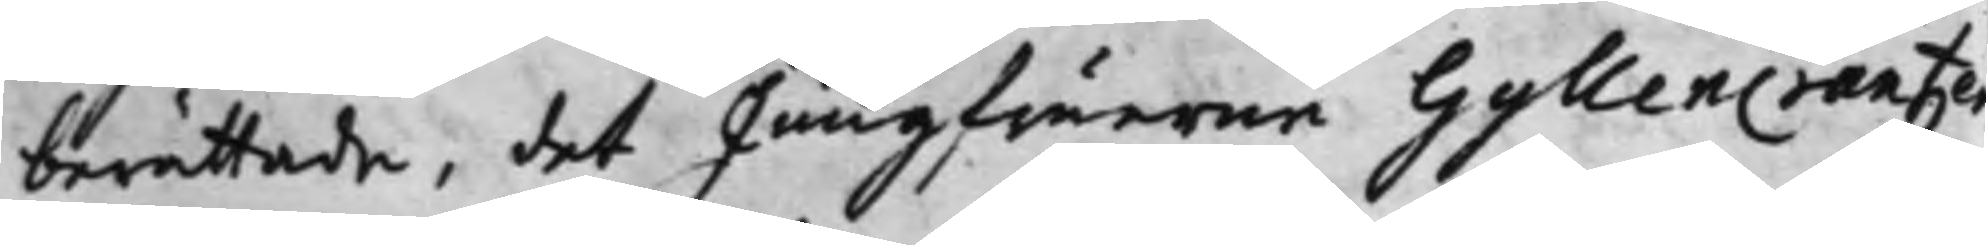berättade, det Jungfuerne GyllenCrantzer¬
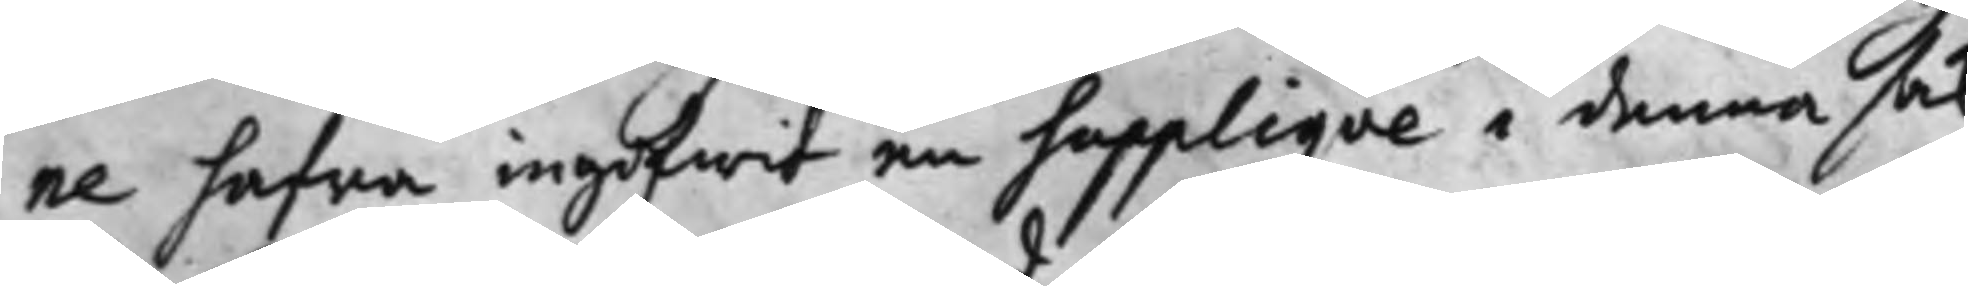ne hafwa ingifwit en Suppliqve i denna sak
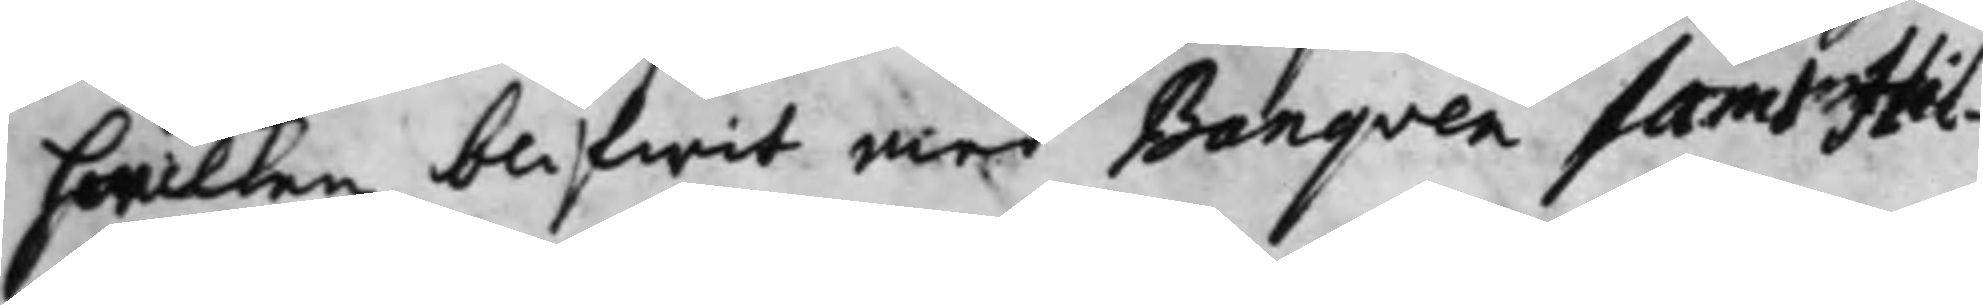hwilken blifwit med Banqven samt Hil¬ 
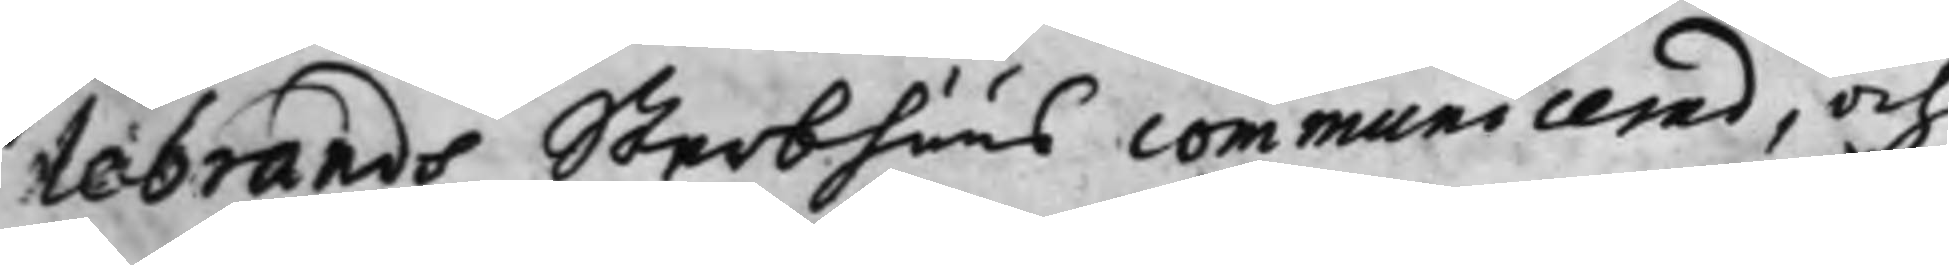lebrands Sterbhuus communicerad, och
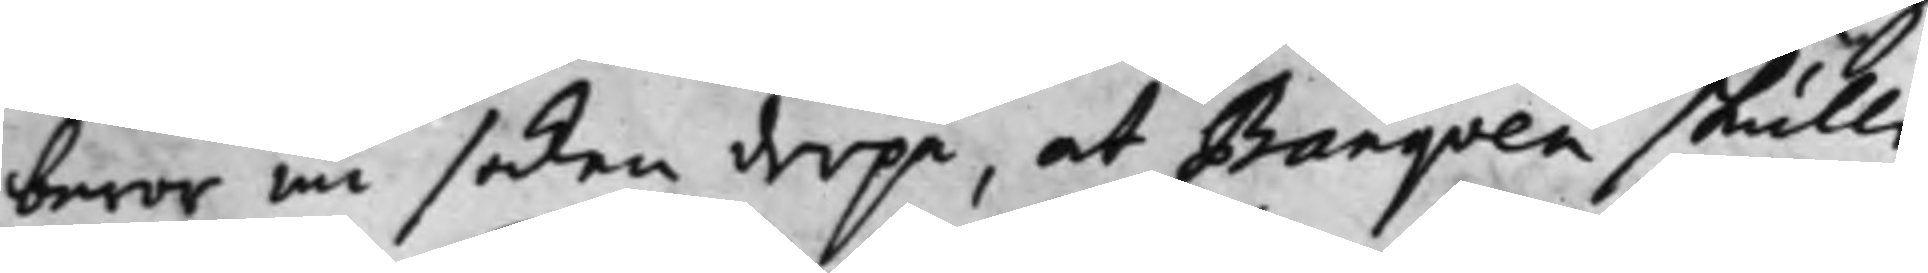beror nu saken derpå at Banqven skulle
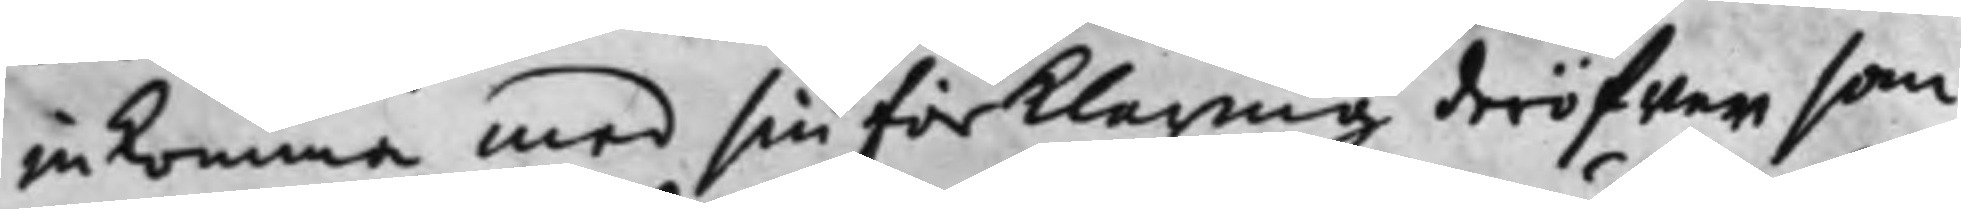inkomma med sin förklaring deröfwer, som
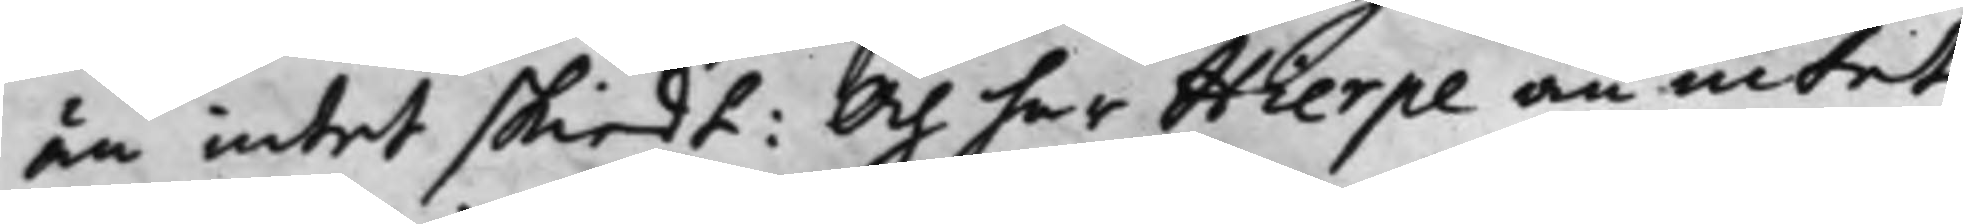än intet skiedt: Och har Hierpe än intet
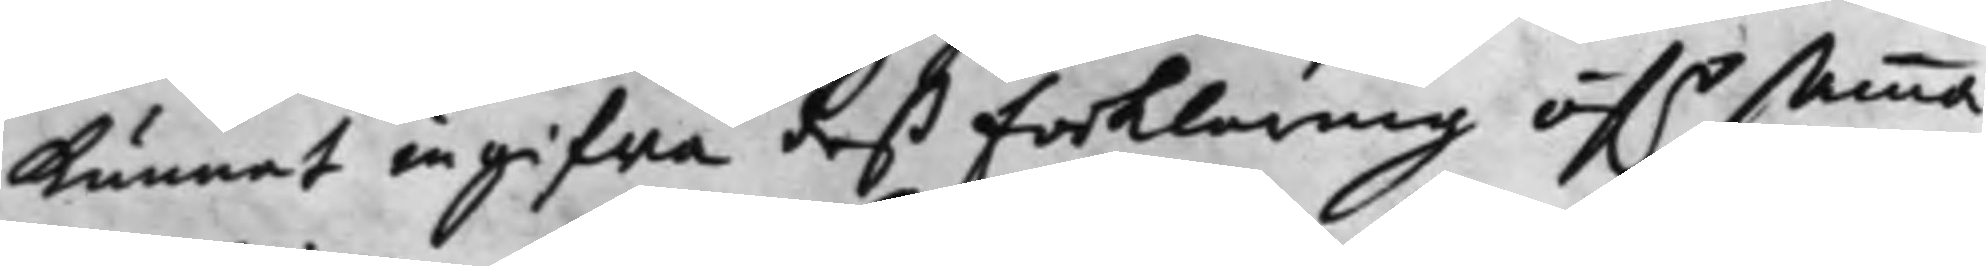Kunnat ingifva deß Forklaring öf.r samma 
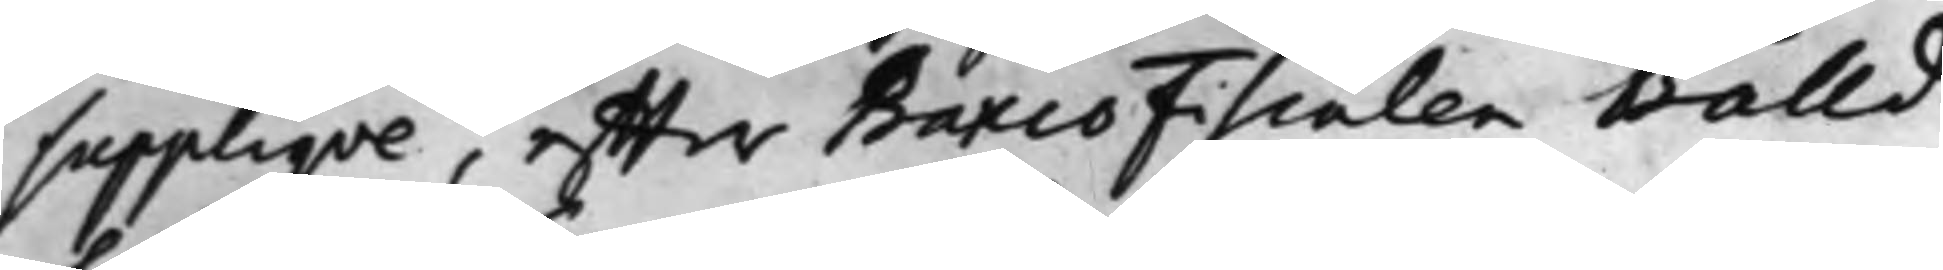Suppliqve, effter BancoFiscalen Bålld
